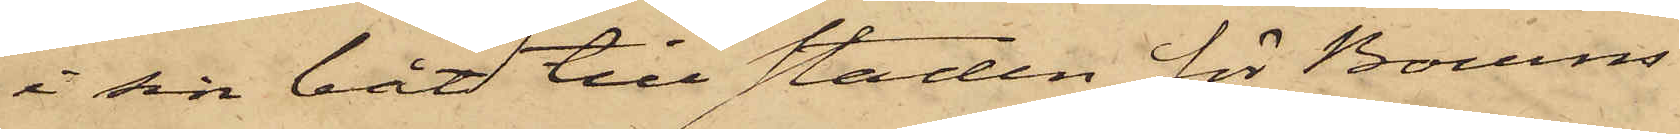i sin båt till staden för Bourns
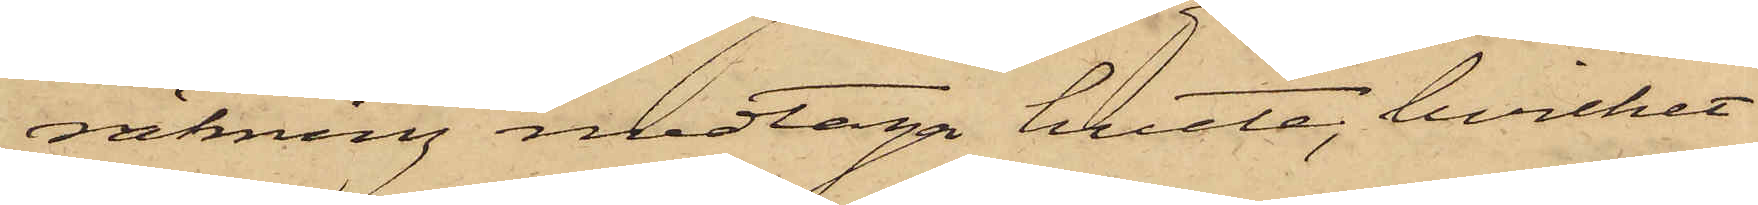räkning medtaga hvete, hvilket
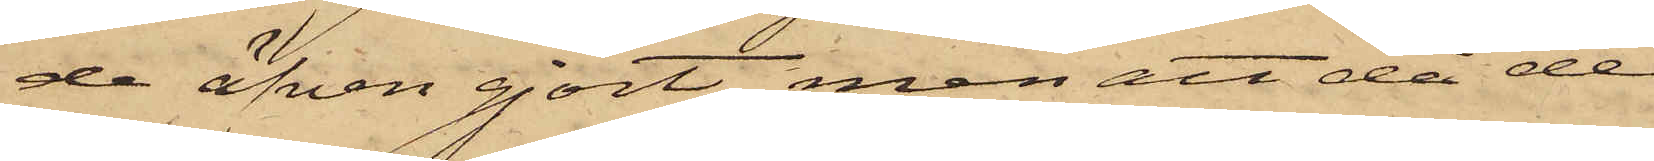de äfven gjort, men att då de
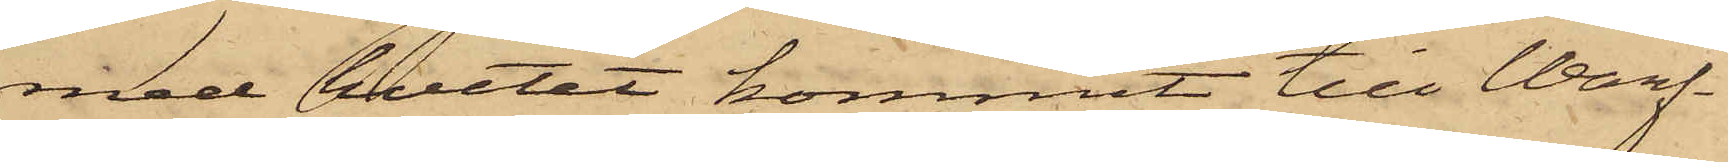med hvetet kommit till Warf¬
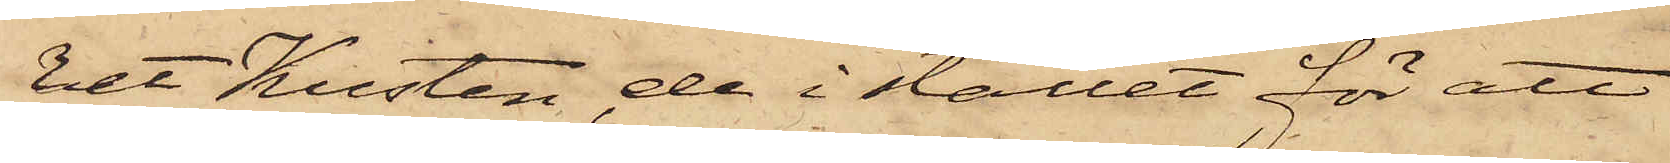vet Kusten, de i stället för att
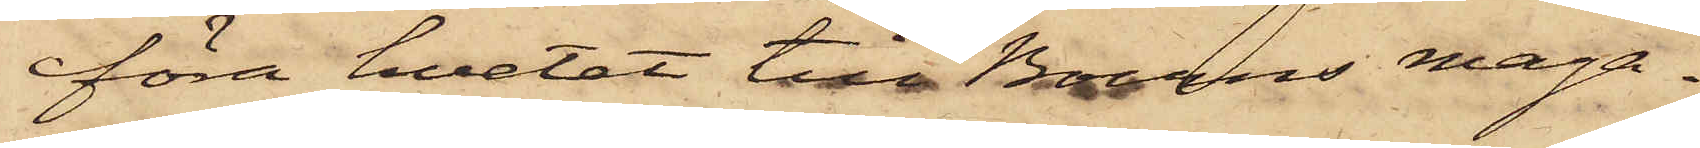föra hvetet till Bourns maga¬
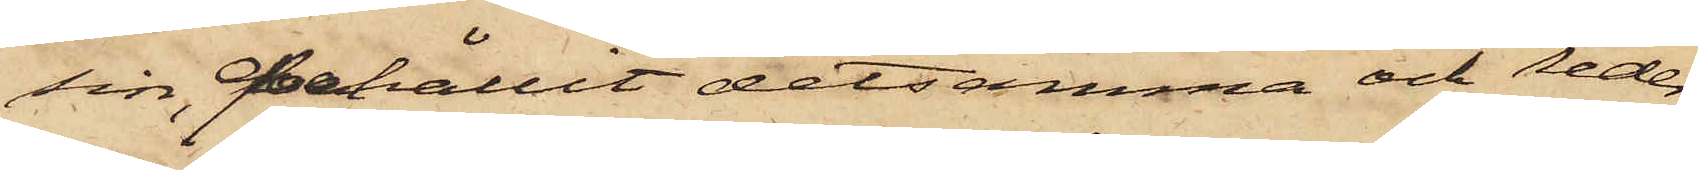sin, behållit detsamma och seder¬
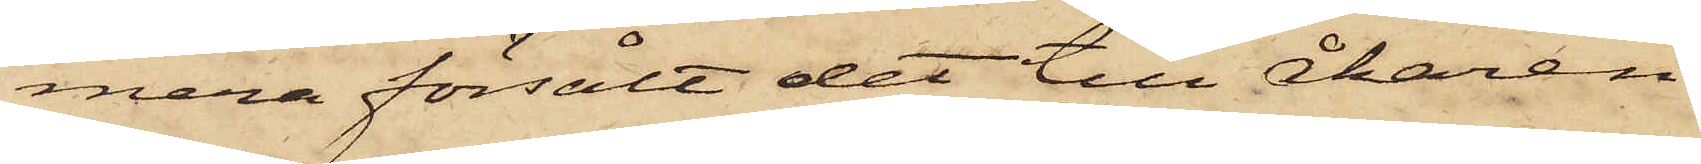mera försålt det till Åkaren
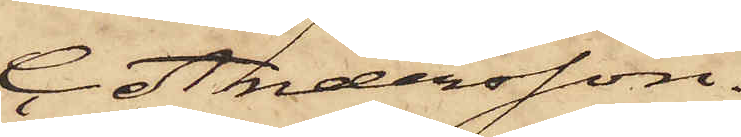C. Andersson.
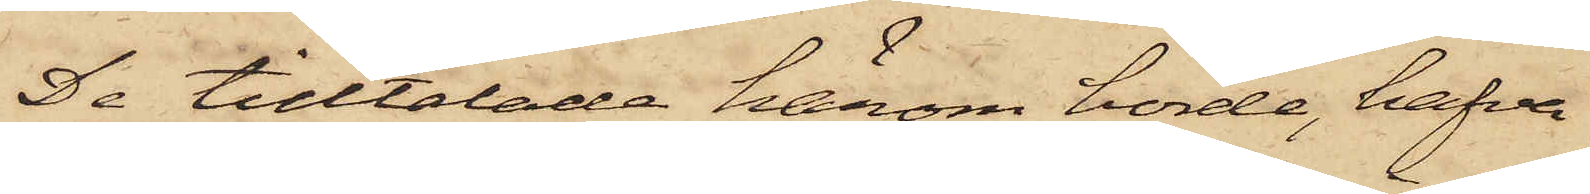De tilltalade honom hörde, hafva
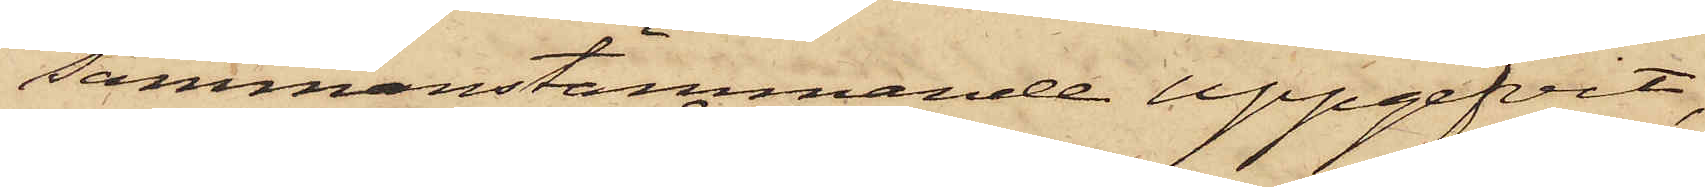sammanstämmande uppgifvit,
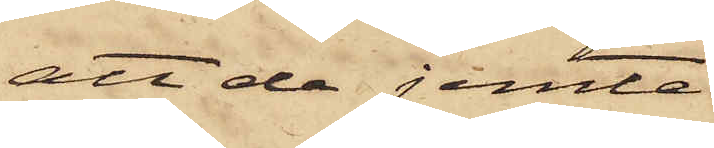att de jemte
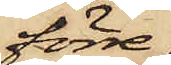förre
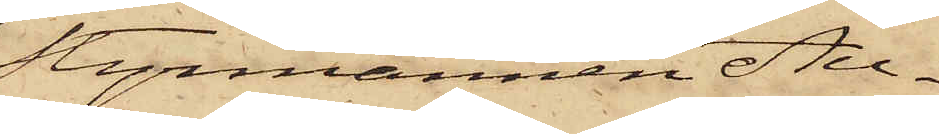Styrmannen Au¬
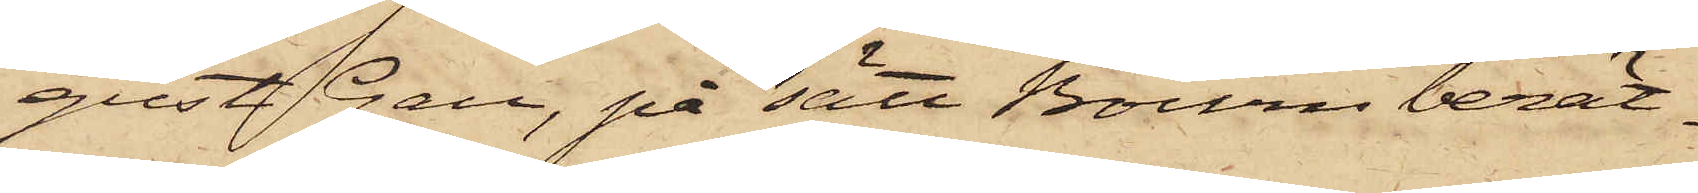gust Gan, på sätt Bourn berät¬
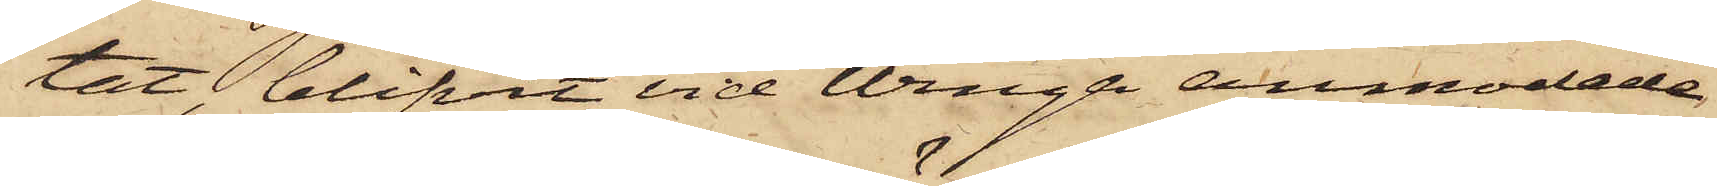tat, blifvit vid Winga anmodade
